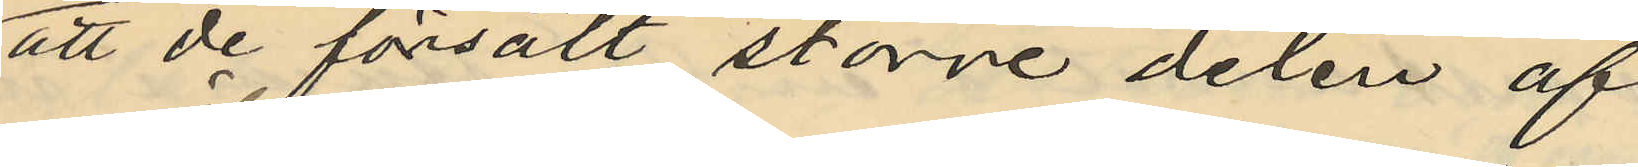att de försålt större delen af
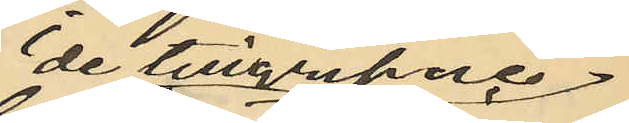de tillgripne
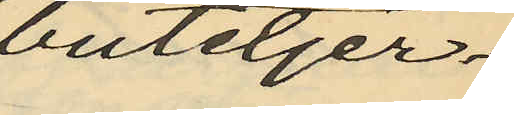buteljer
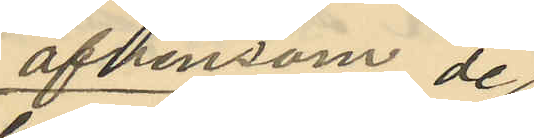äfvensom de
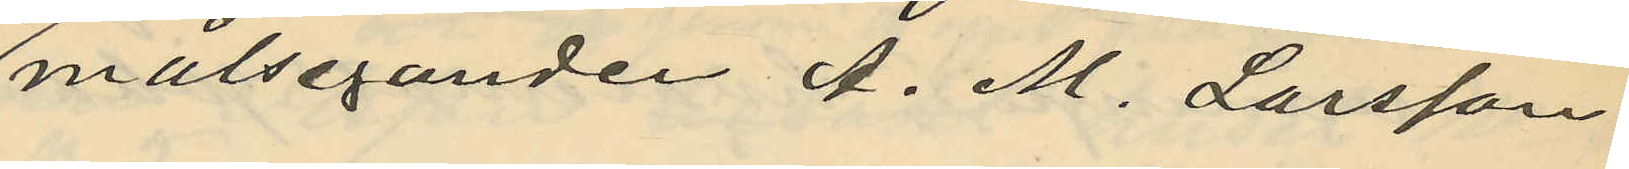målseganden A. M. Larsson
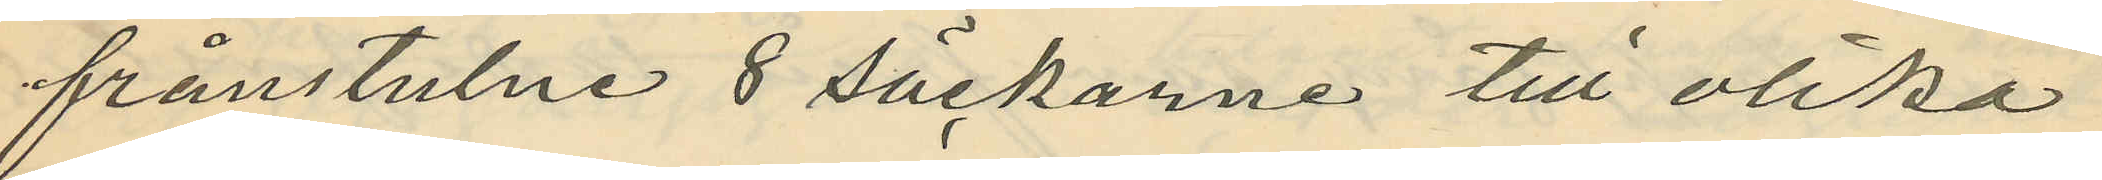frånstulne 8 säckarne till olika
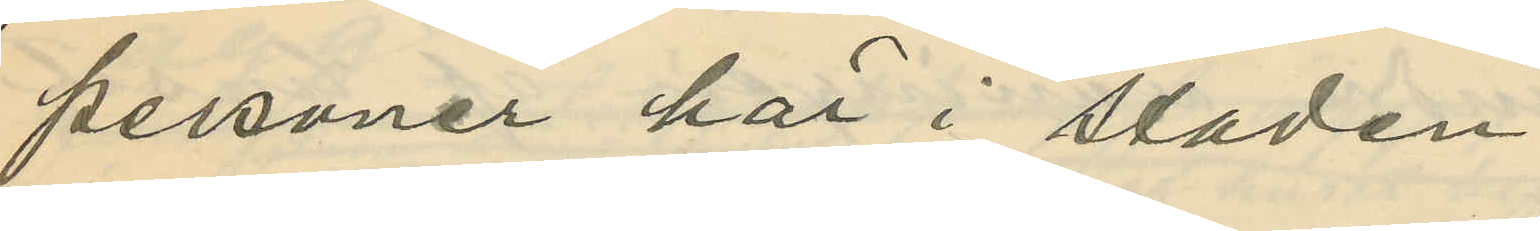personer här i staden;
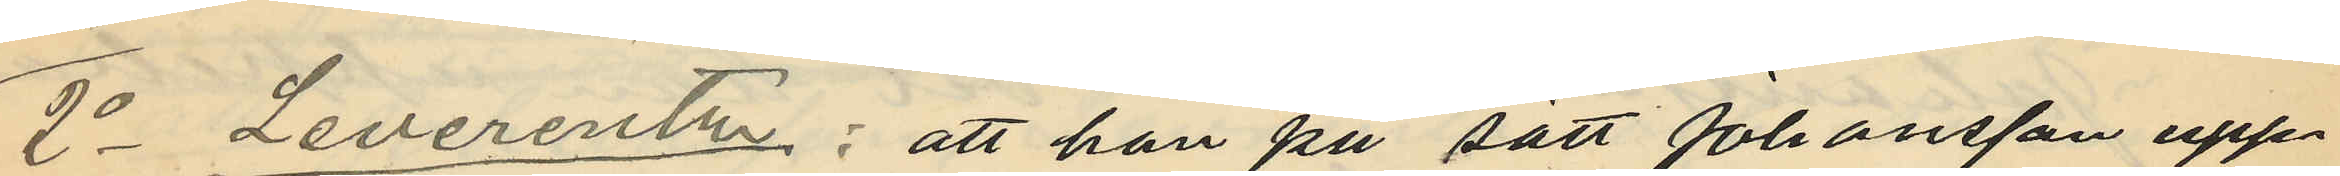2o Leverentz: att han på sätt Johansson upp¬
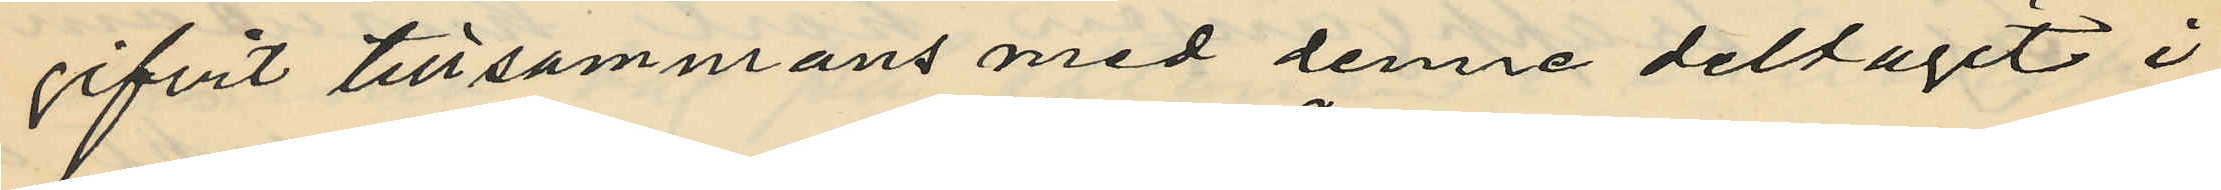gifvit tillsammans med denne deltagit i
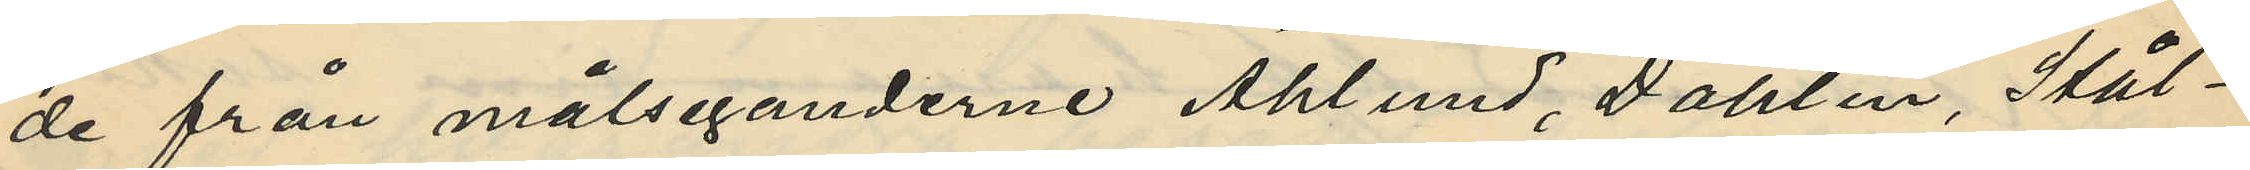de från målseganderne Åhlund, Dahlin, Stål¬
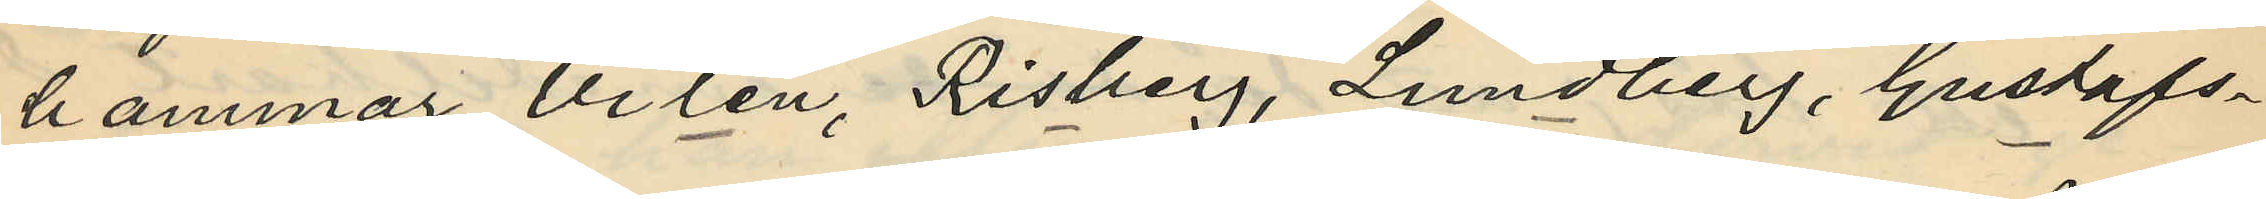hammar, Vilén, Risberg, Lundberg, Gustafs¬
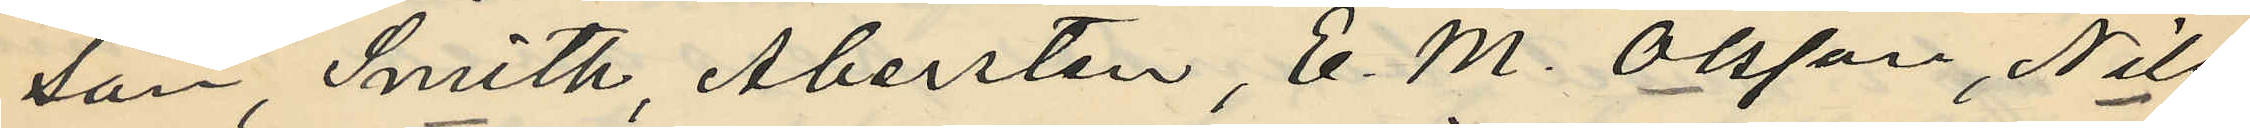son, Smith, Abersten, E. M. Olsson, Nils
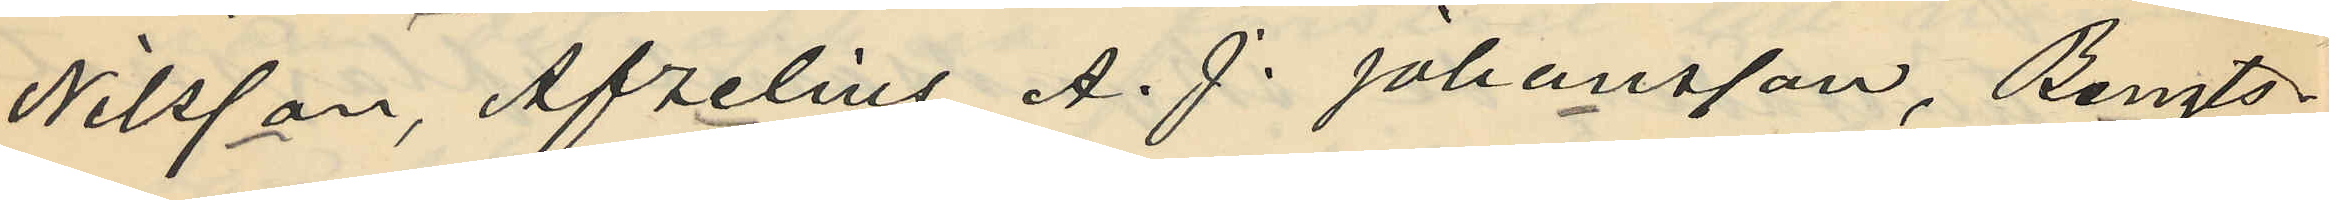Nilsson, Afzelius, A. J. Johansson, Bengts¬
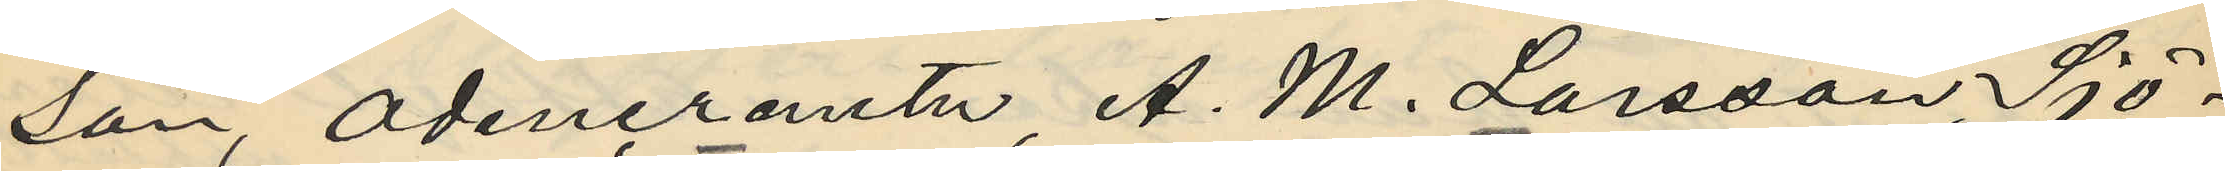son, Odencrantz, A. M. Larsson, Sjö¬
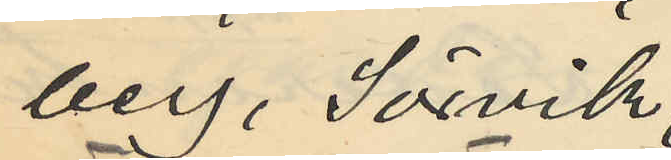berg, Sörvik
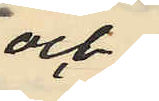och
